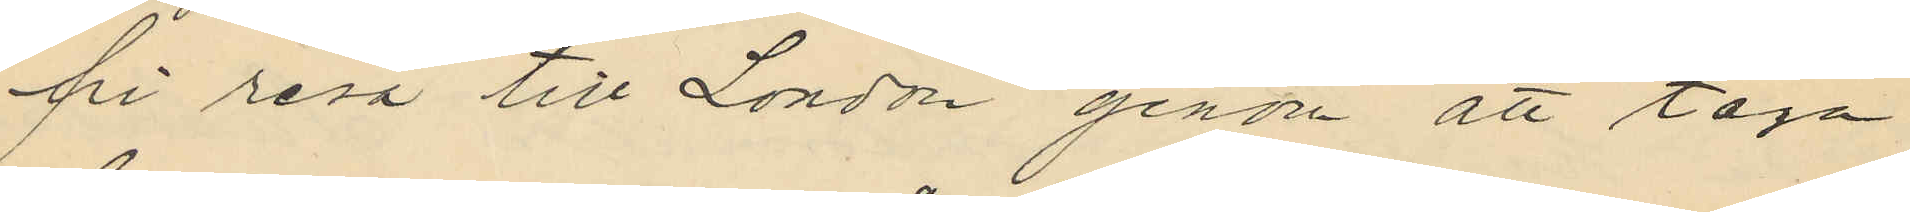fri resa till London genom att taga
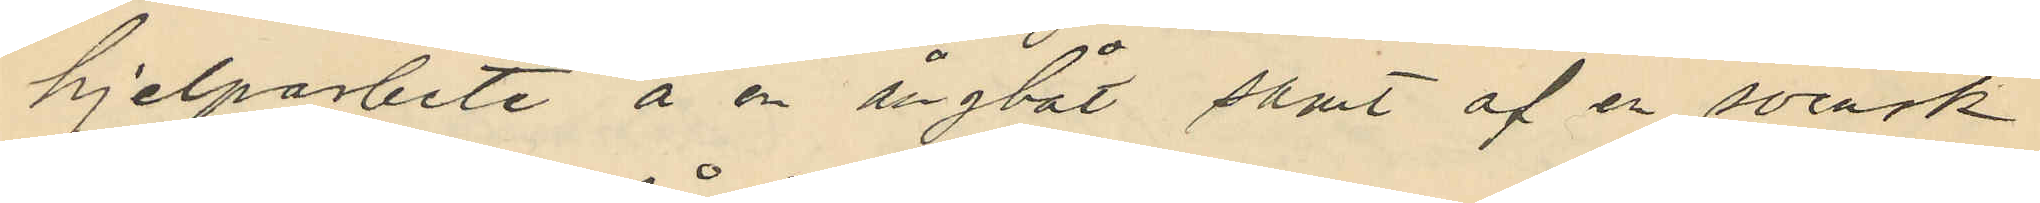hjelparbete å en ångbåt samt af en svensk
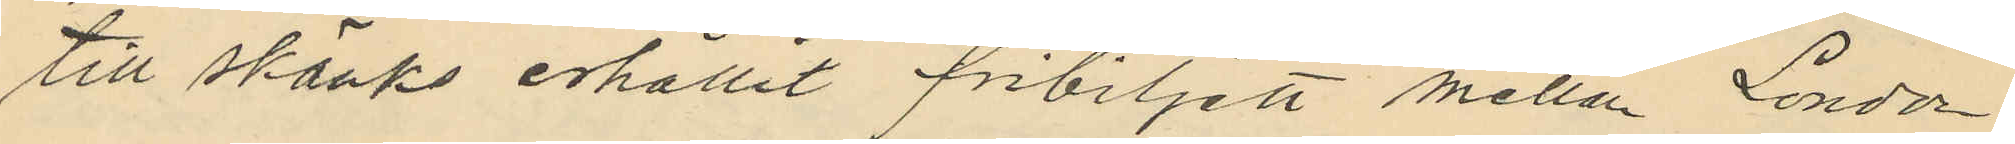till skänks erhållit fribiljett mellan London
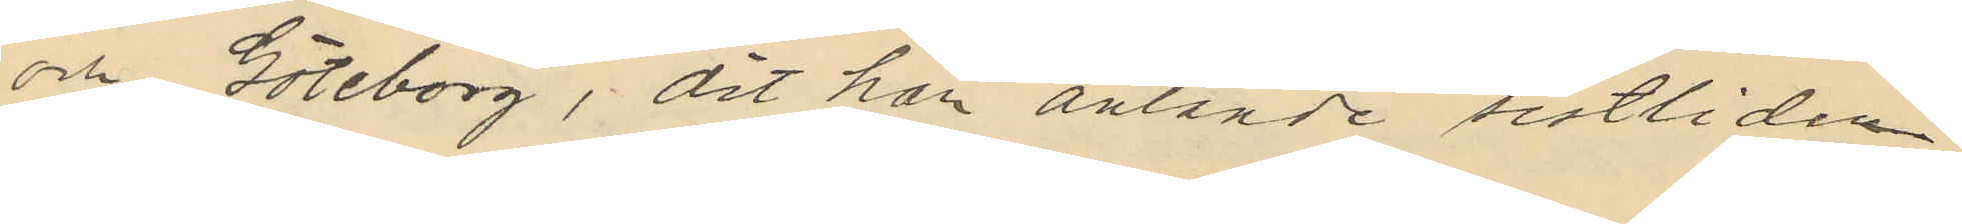och Göteborg, dit han anlände sistliden
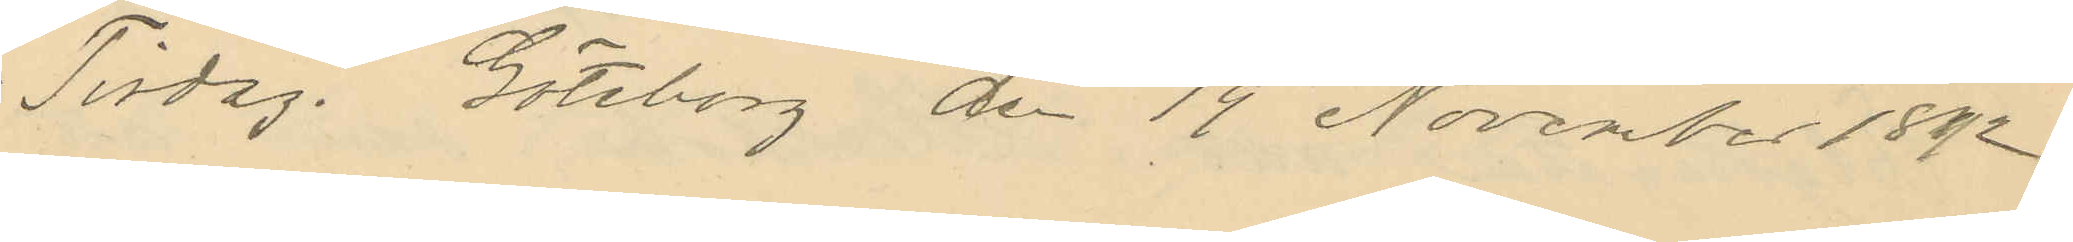Tisdag. Göteborg den 19 November 1892.
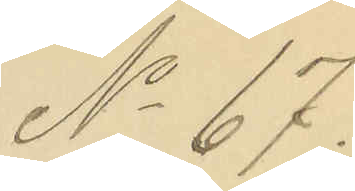No 67.
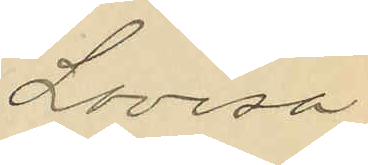Lovisa
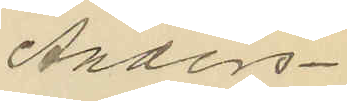Anders¬
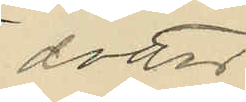dotter
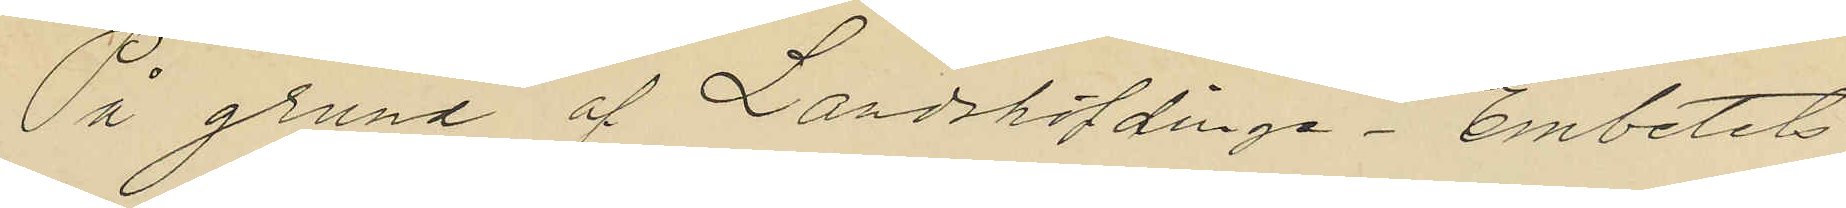På grund af Landshöfdinge-Embetets
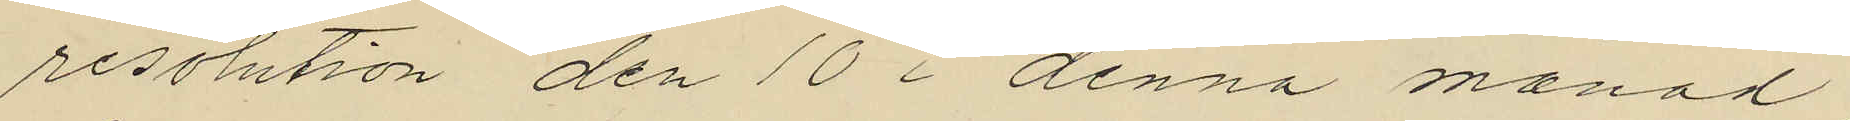resolution den 10 i denna månad
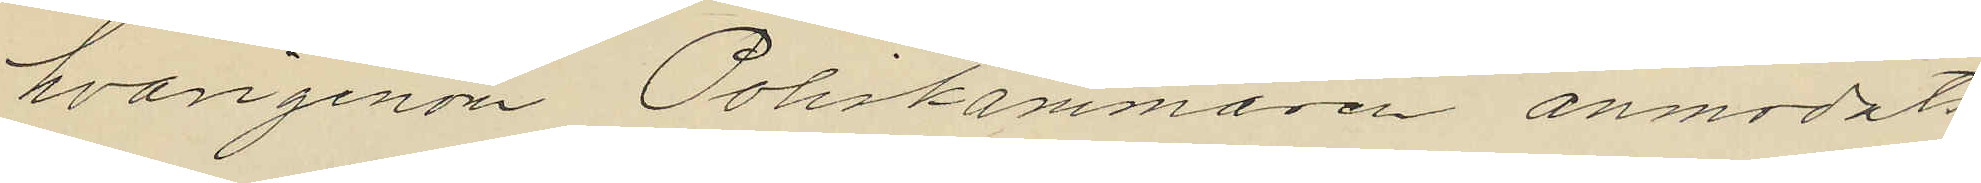hvargenom Poliskammaren anmodats
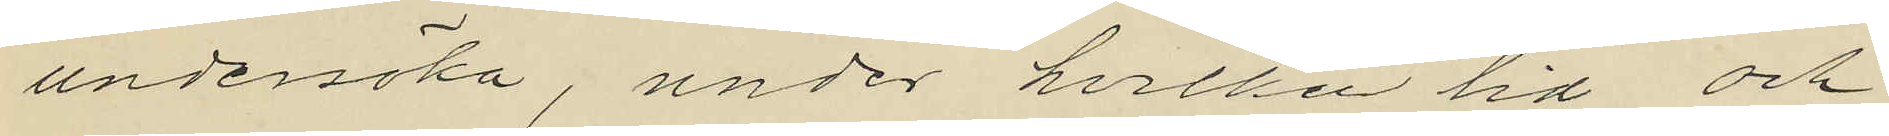undersöka, under hvilken tid och
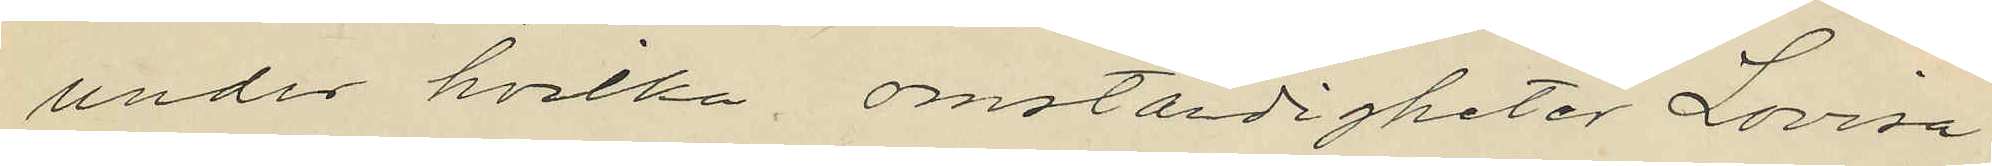under hvilka omständigheter Lovisa
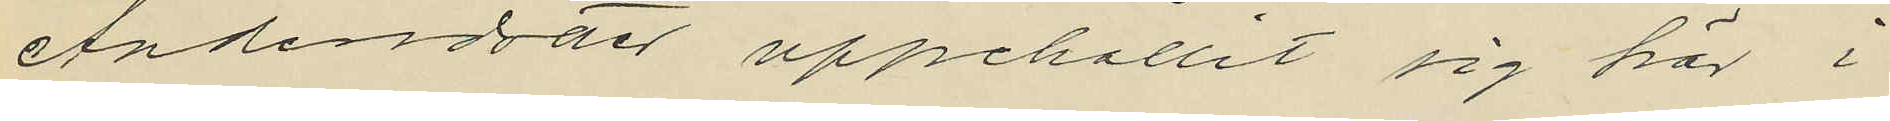Andersdotter uppehållit sig här i
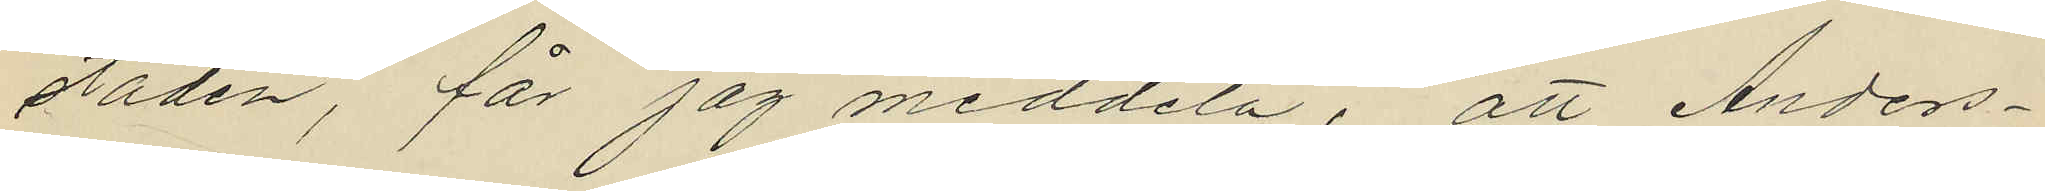staden, får jag meddela; att Anders¬
